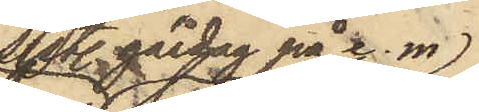sistl. gårdag på e. m.
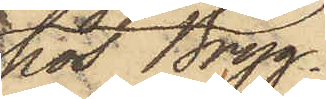hos Bryg¬
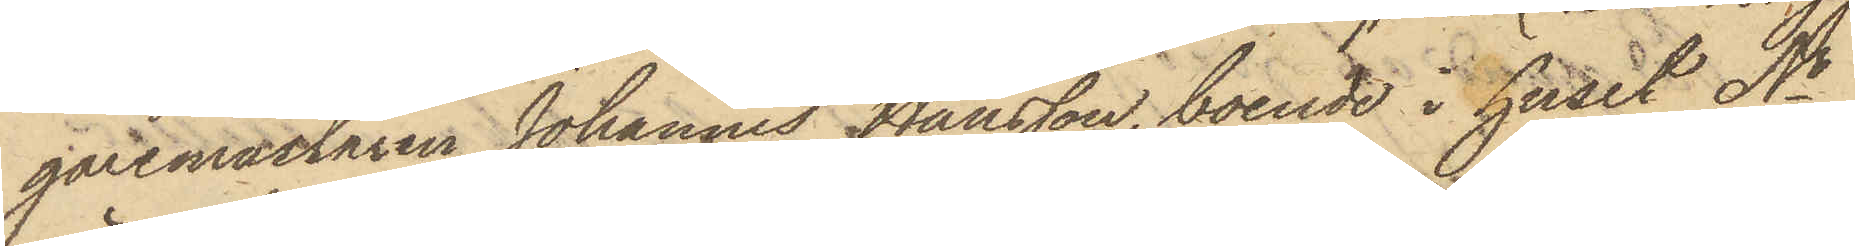garemästaren Johannes Hansson, boende i huset No
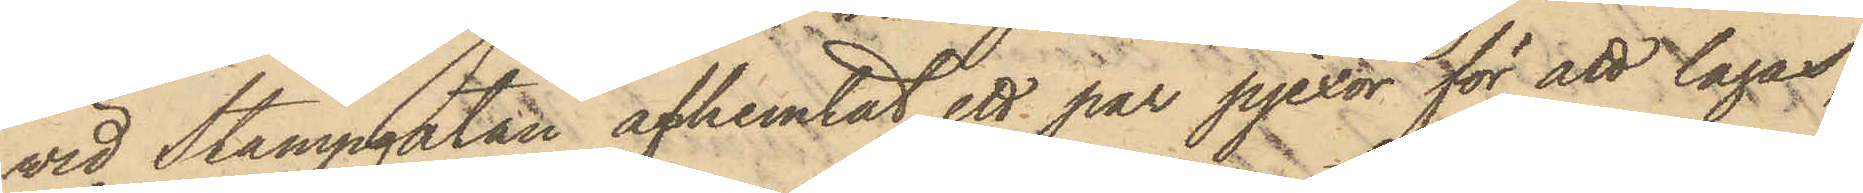vid Stampgatan afhemtat ett par pjexor för att lagas,
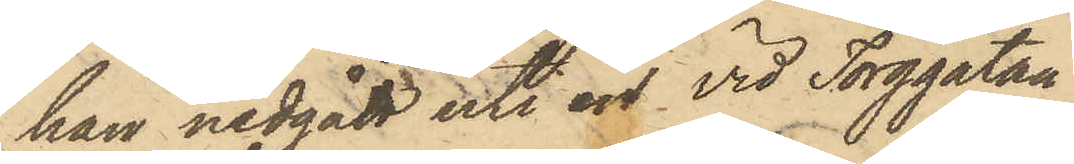han nedgått uti en vid Torggatan
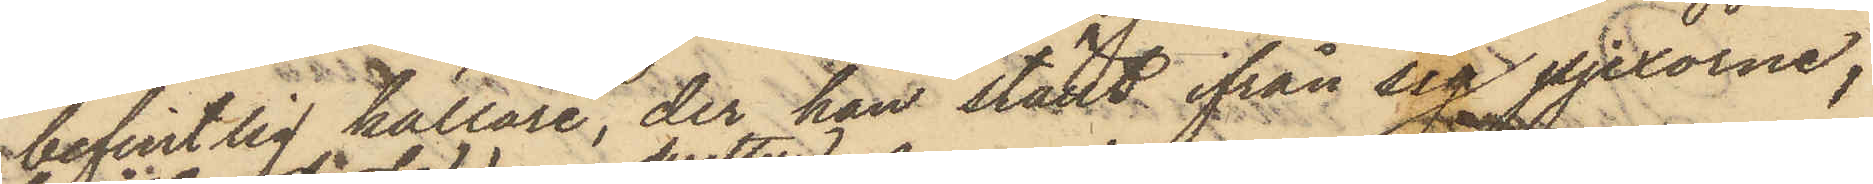befintlig källare, der han ställt ifrån sig pjexorne;
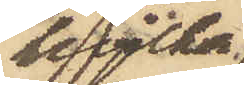hvilka
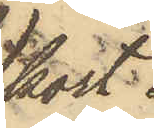kort
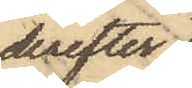derefter
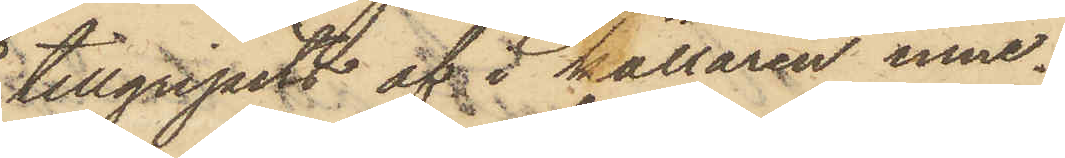tillgripits af i källaren inne¬
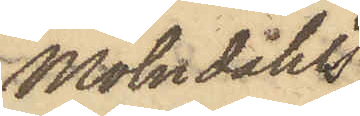Mölndahls
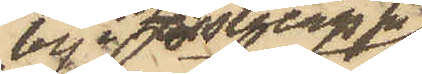by i Fässbergs Sn
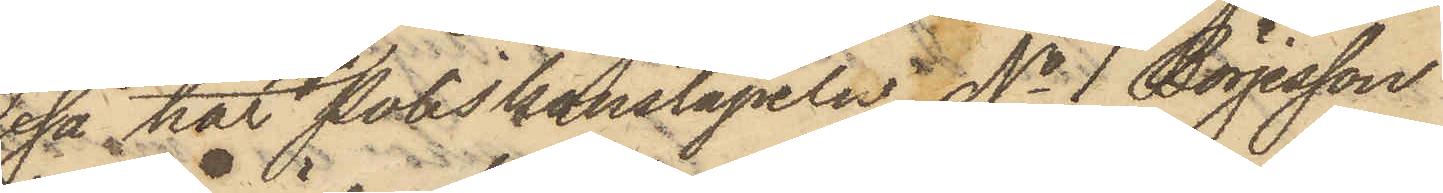så har Poliskonstapeln No 1 Börjesson
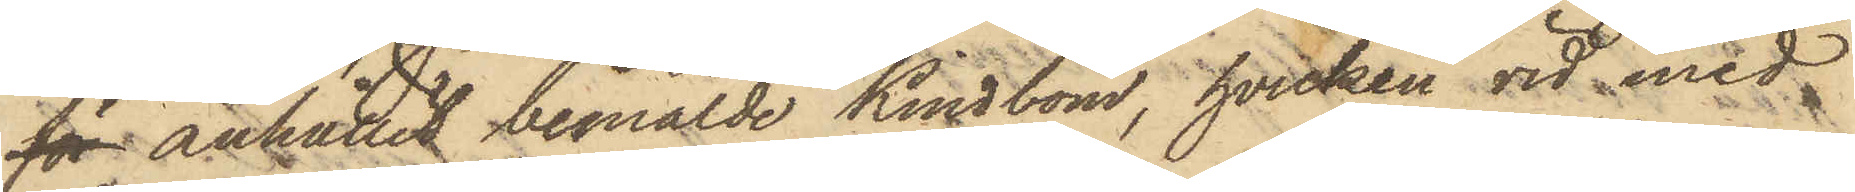för anhållit bemälde Kindbom, hvilken vid med
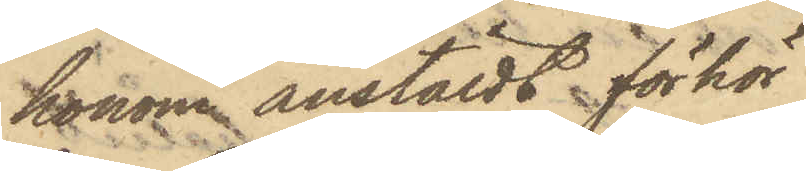honom anstäldt förhör
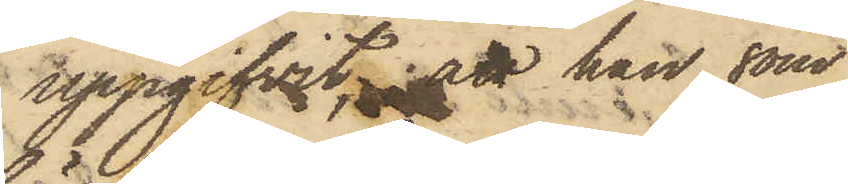uppgifvit att han, som
